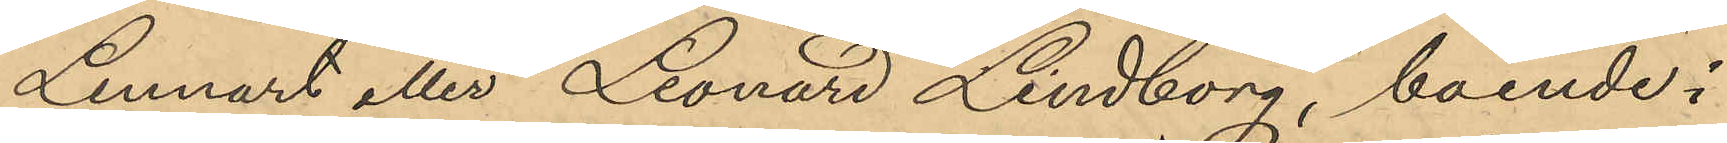Lennart eller Leonard Lindborg, boende i
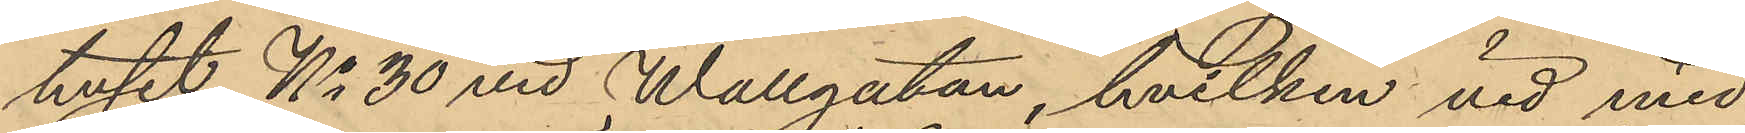huset No 30 vid Wallgatan, hvilken vid med
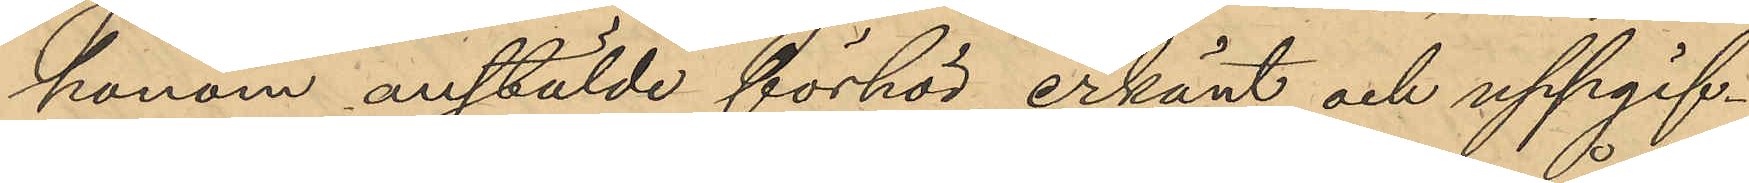honom anstälde förhör erkänt och uppgif¬
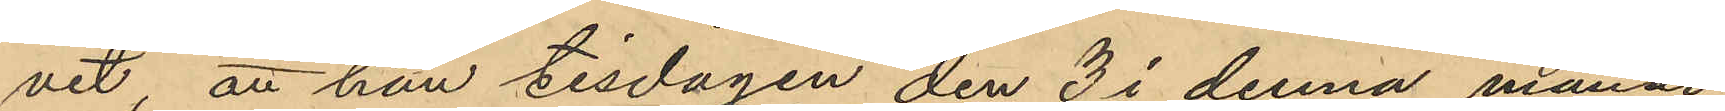vit att han tisdagen den 3 i denna månad
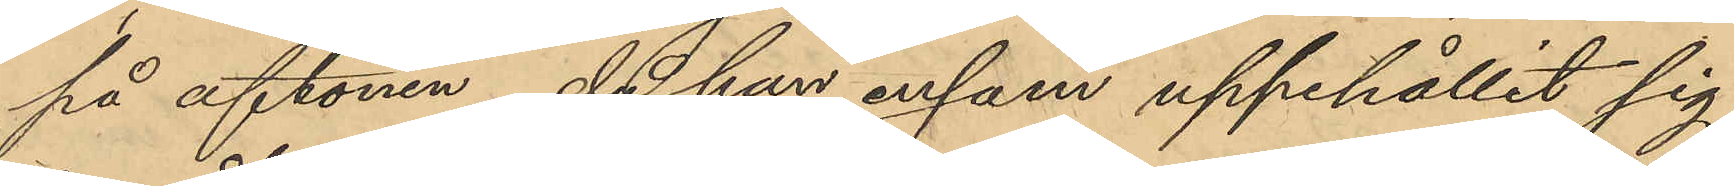på aftonen, då han ensam uppehållit sig
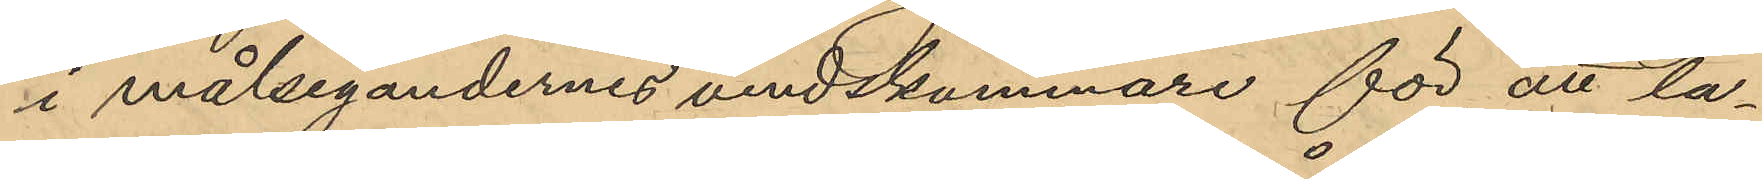i målsegandernes vindskammare för att la¬
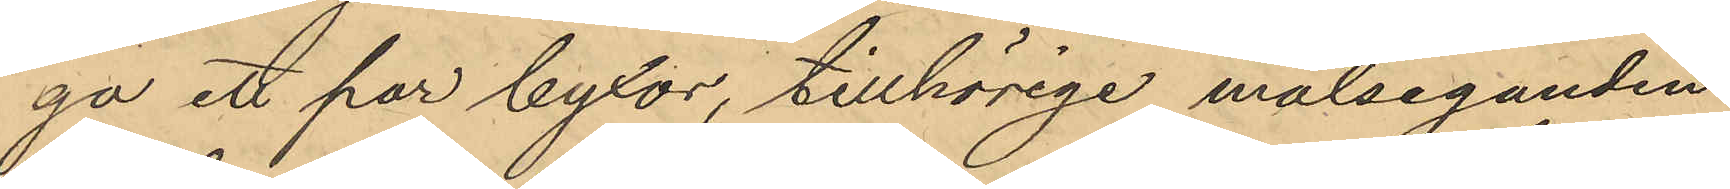ga ett par byxor, tillhörige målseganden
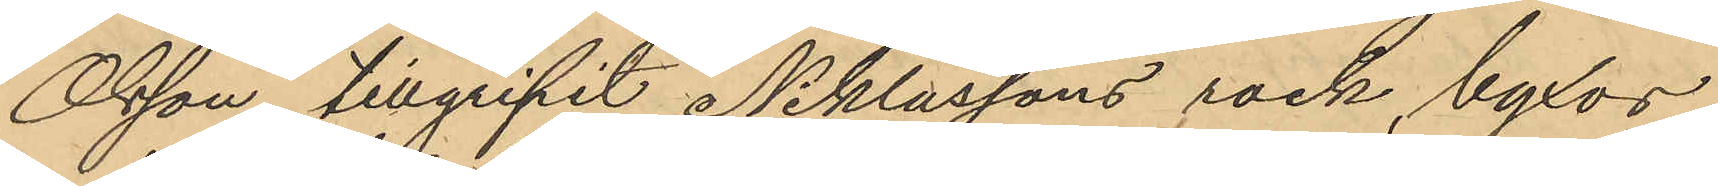Olsson tillgripit Niklassons rock, byxor
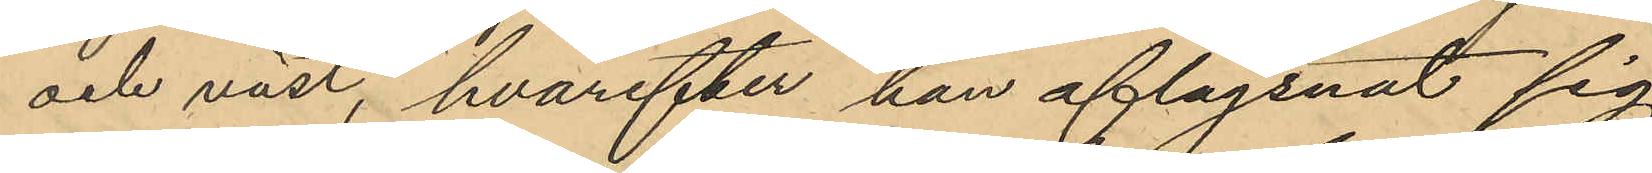och väst, hvarefter han aflägsnat sig
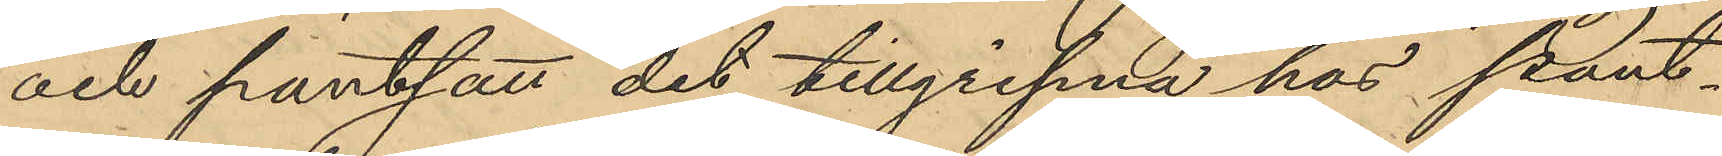och pantsatt det tillgripna hos pant¬
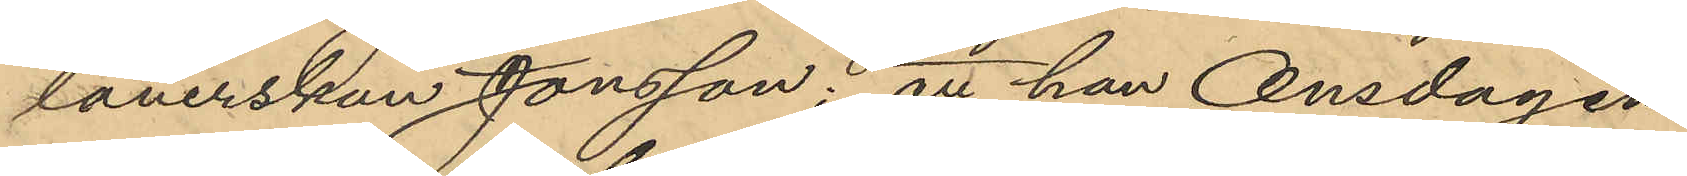lånerskan Jonsson; att han Onsdagen
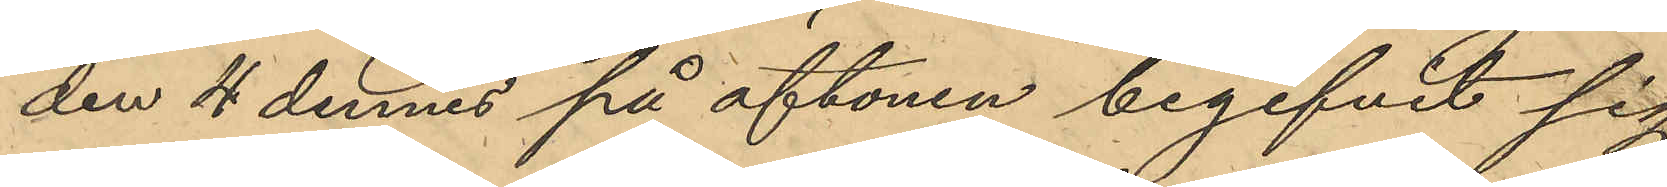den 4 dennes på aftonen begifvit sig
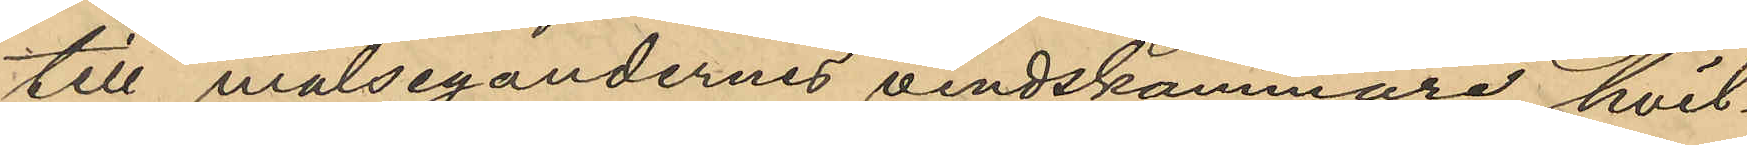till målsegandernes vindskammare hvil¬
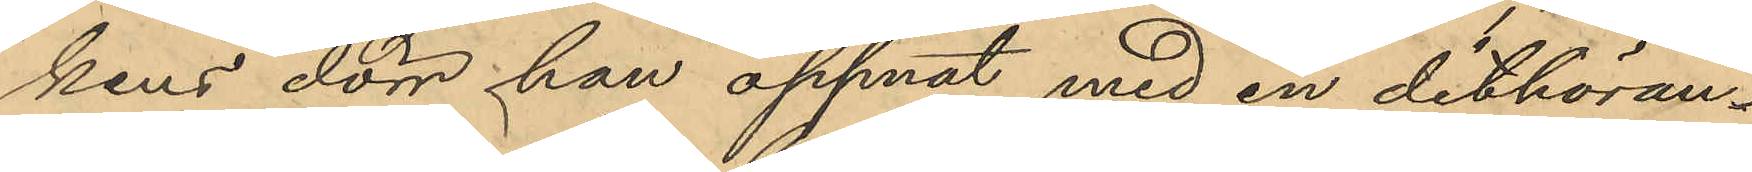kens dörr han öppnat med en dithöran¬
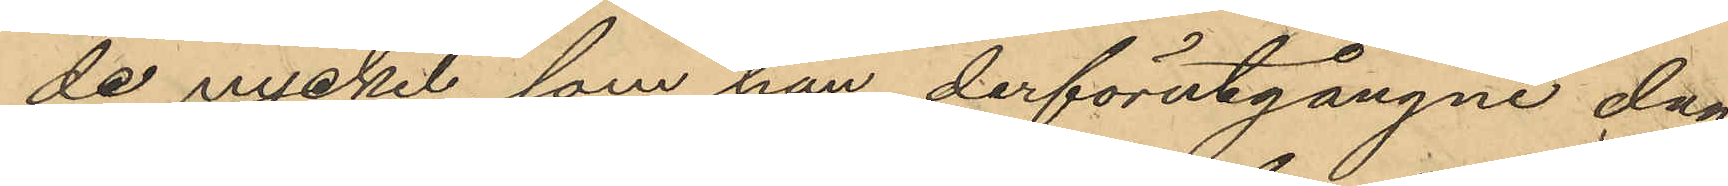de nyckel, som han derförutgångne dag
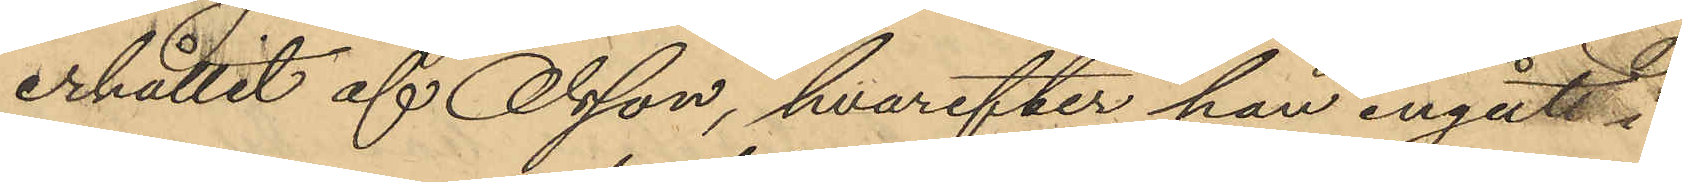erhållit af Olsson, hvarefter han ingått i
